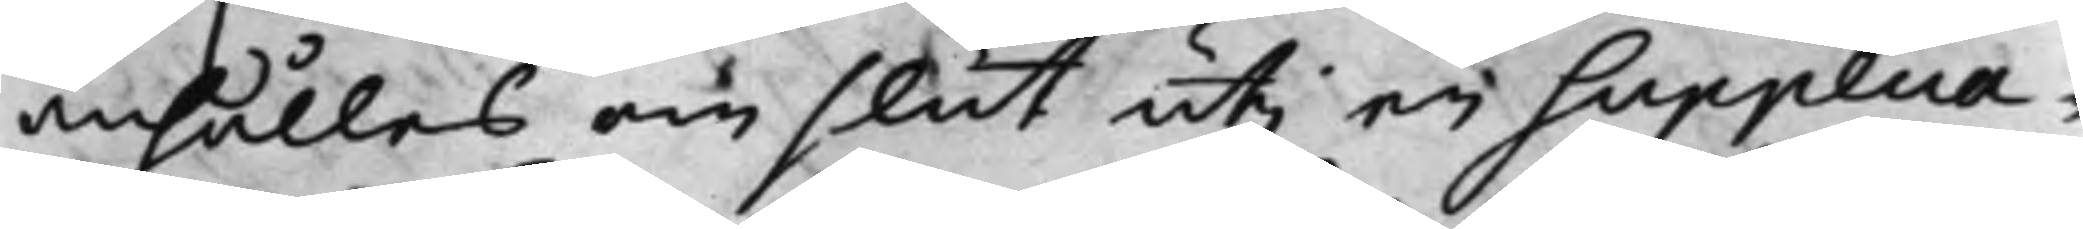anhålles om slut uti en Supplica¬
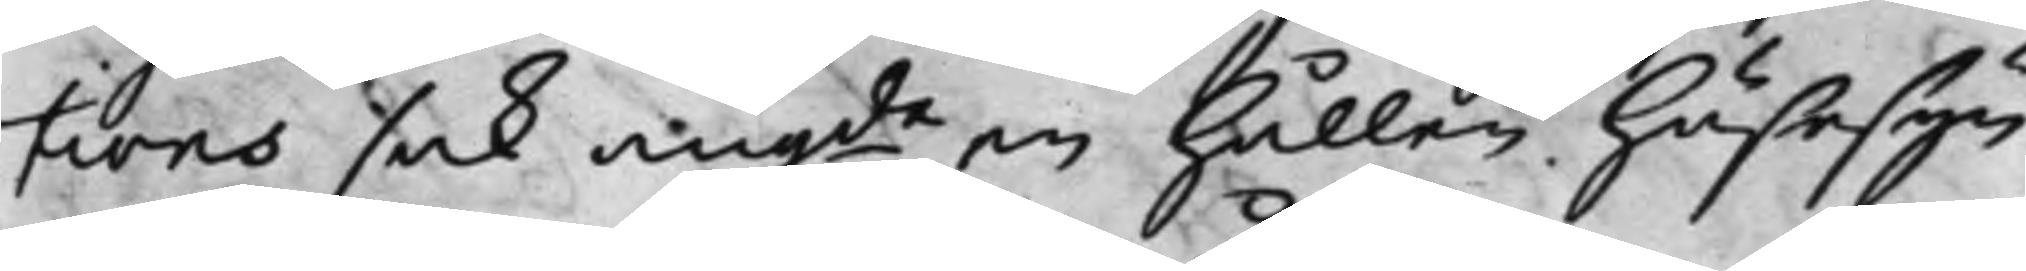tions sak, angde en hållen Husesyn
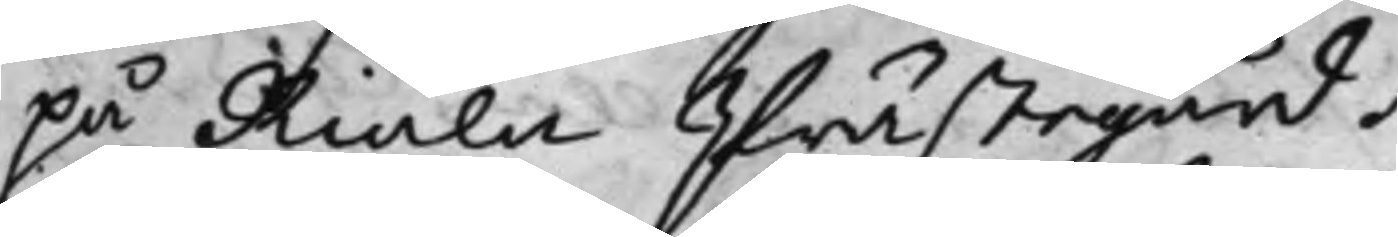på Riala Prästegård.
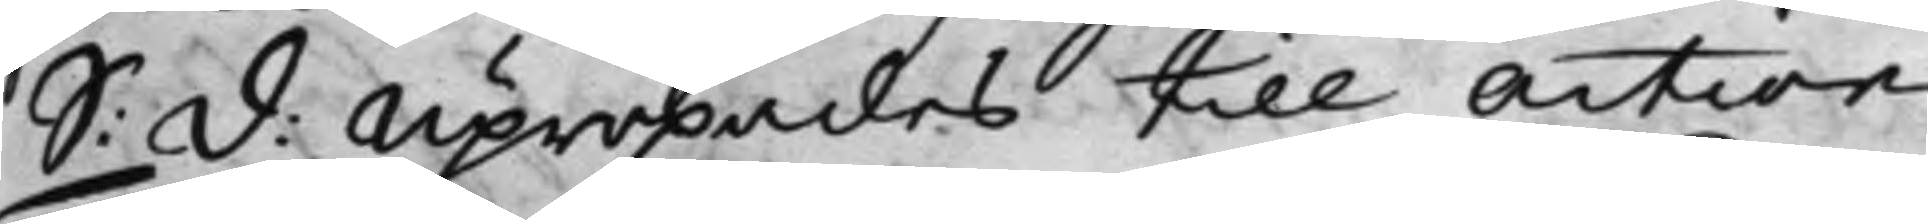S: D: Upropades till action
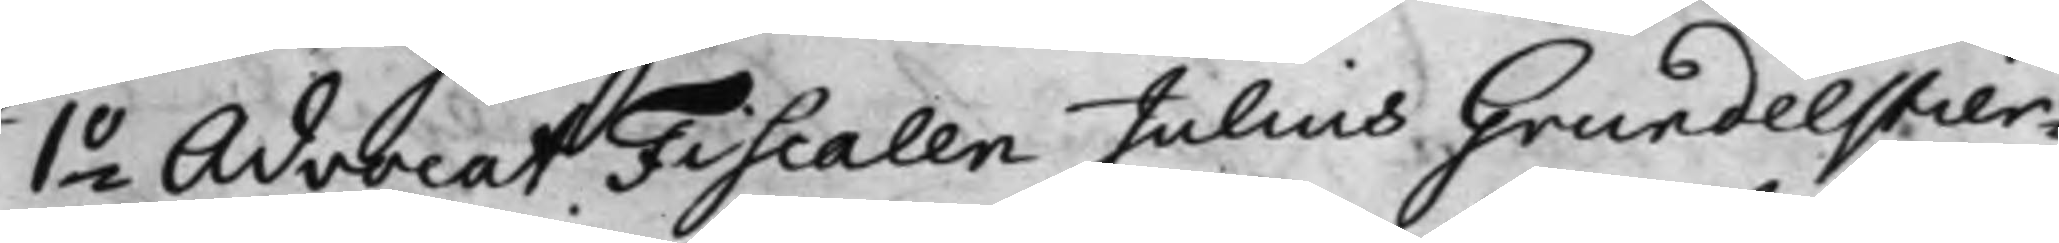1o Advocat Fiscalen Julius Grundelstier¬
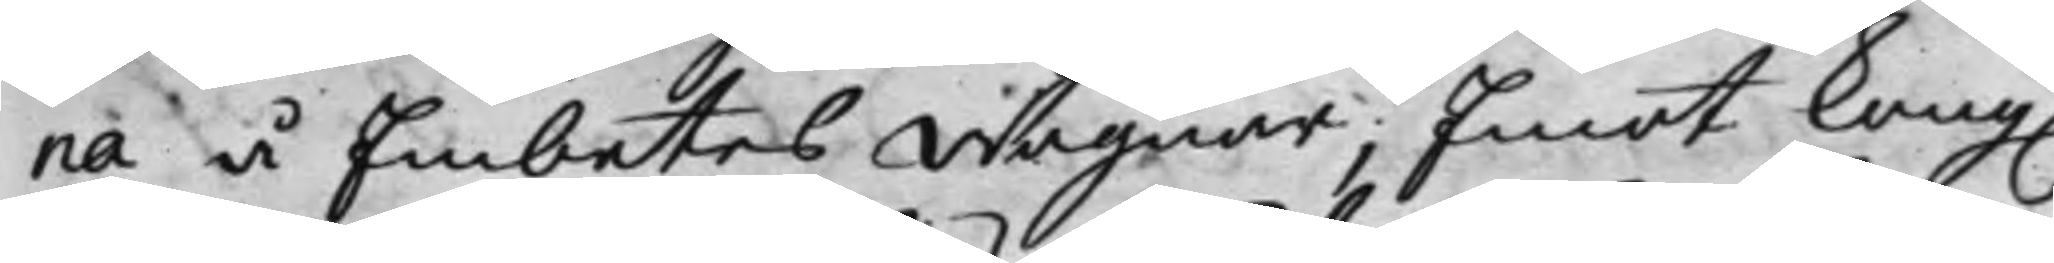na å Embetes wägnar; Emot Kong.
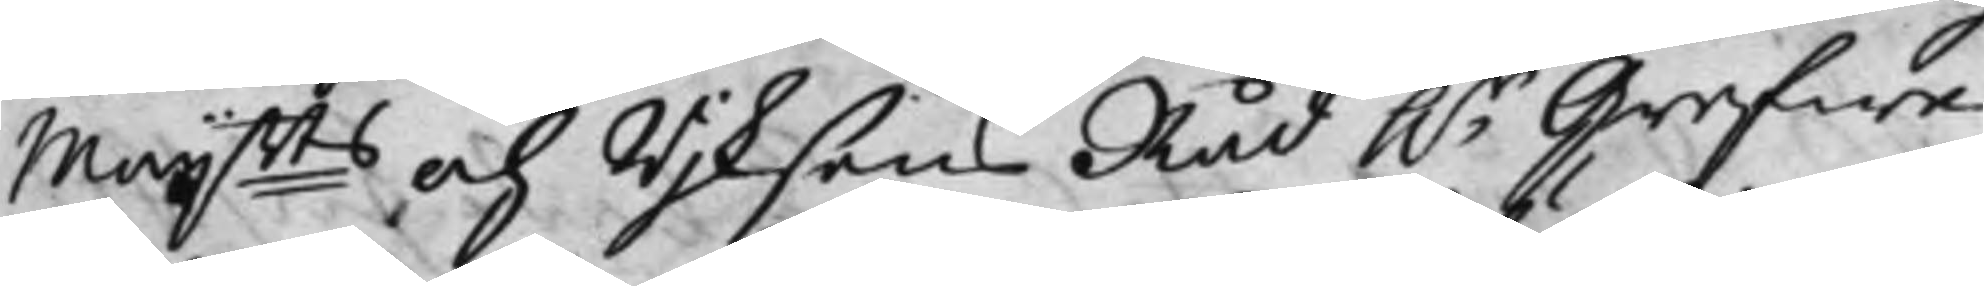Maijtts och Rijksens Råd h.r Grefwe
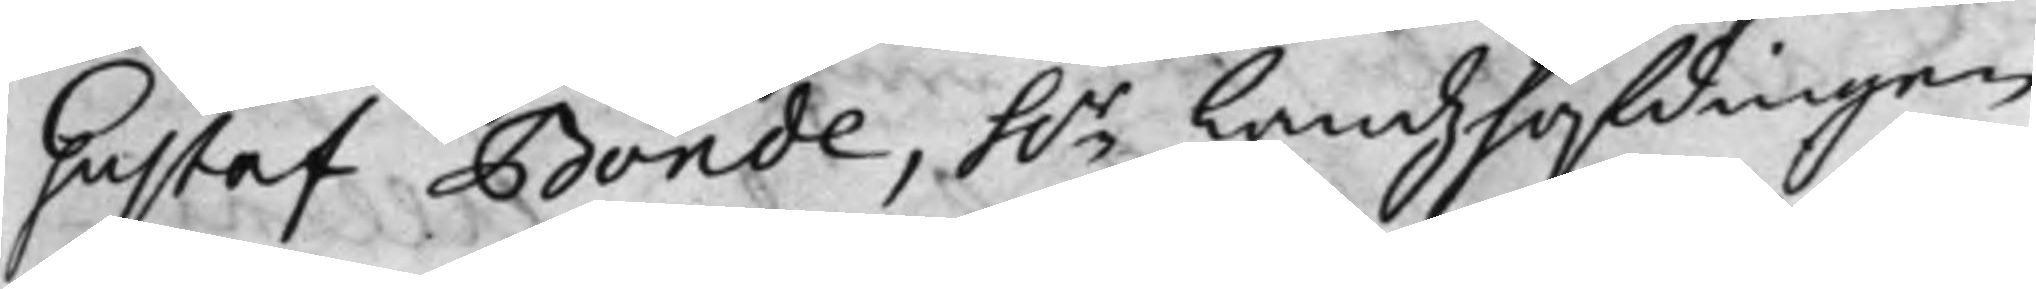Gustaf Bonde, h.r Landzhöfdingen
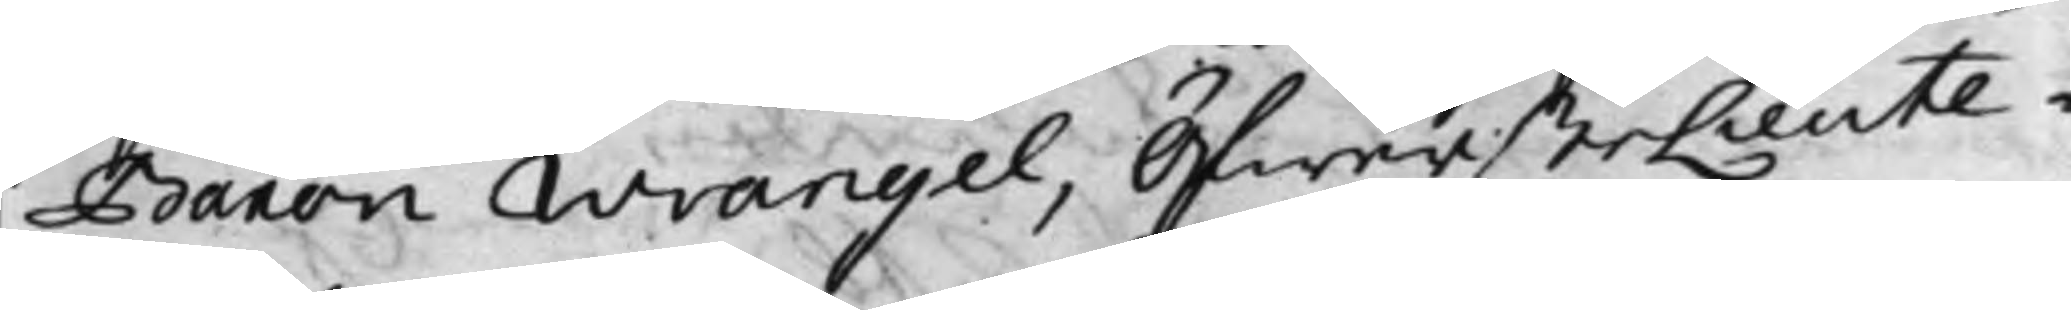Baron Wrangel, ÖfwersteLieute¬
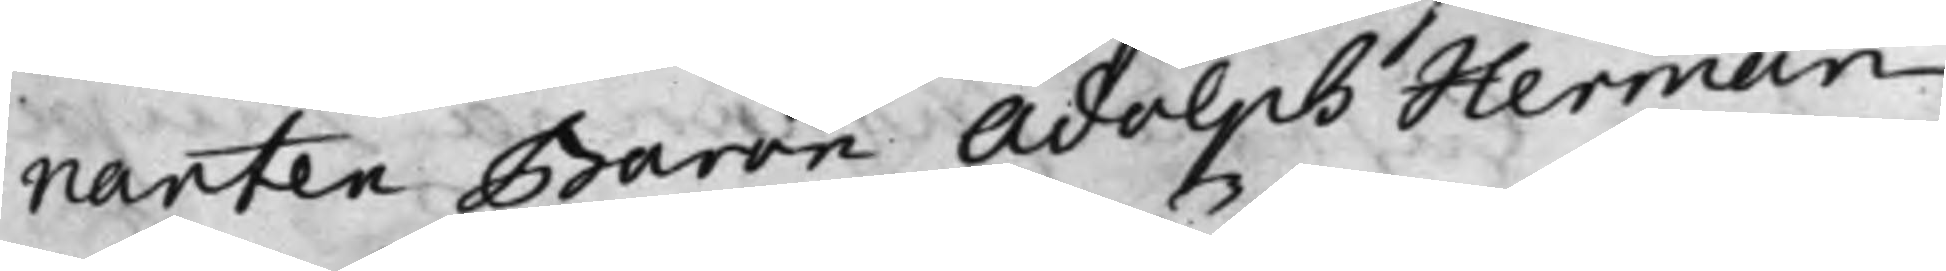nanten Baron Adolph Herman
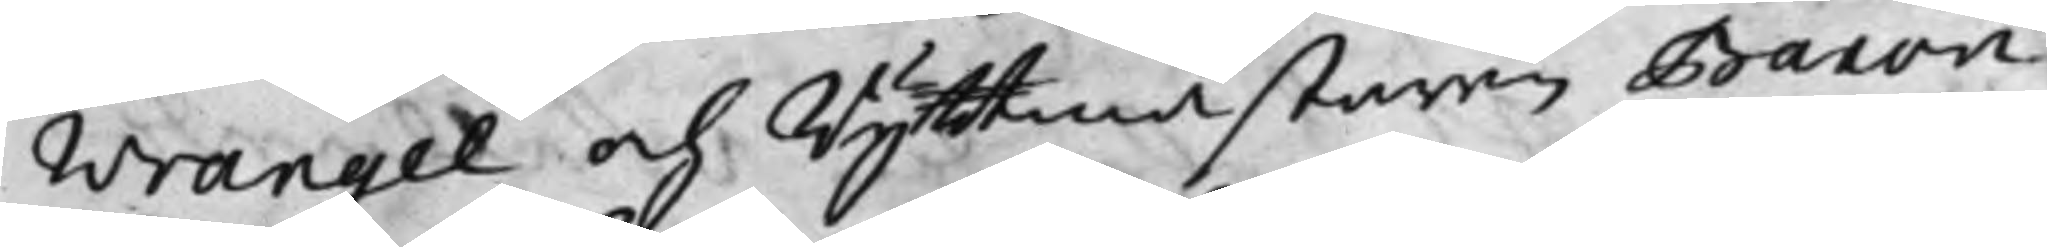Wrangel och Ryttmästaren Baron
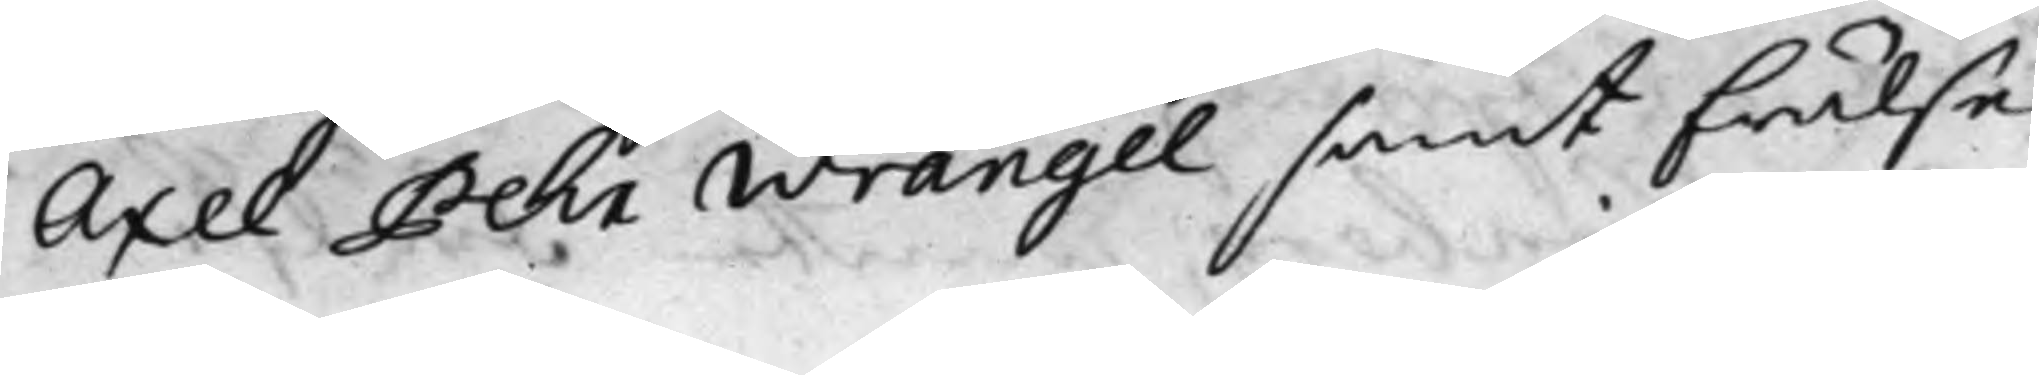Axel Pehr Wrangel, samt Frälse¬
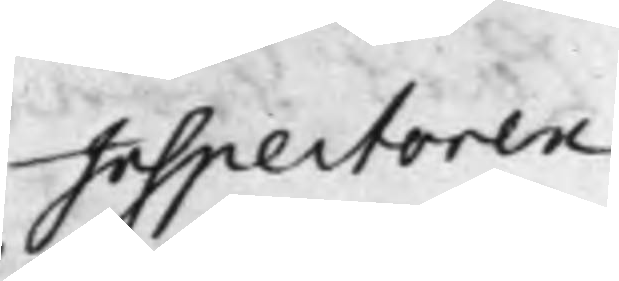Inspectoren
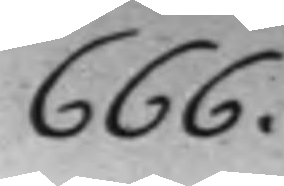666.
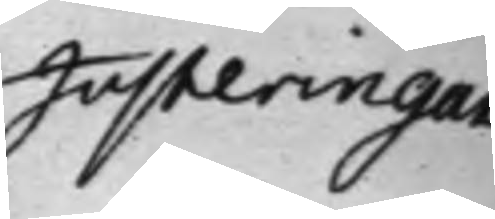Justeringar
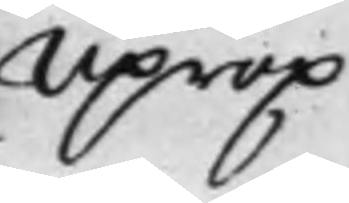Uprop
